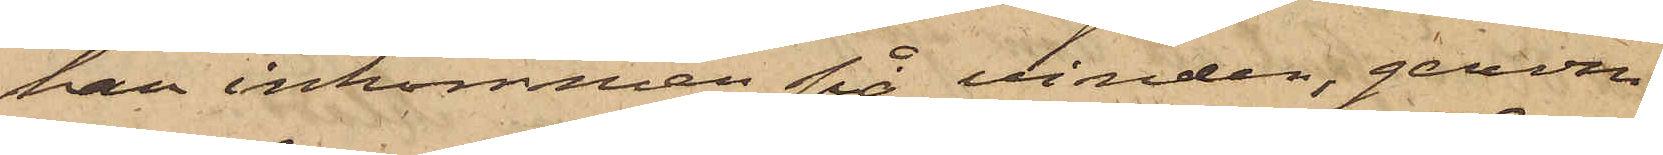han inkommen på vinden, genom
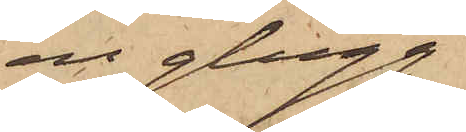en glugg
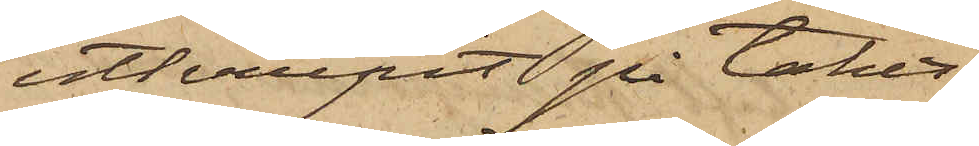utkrupit på taket,
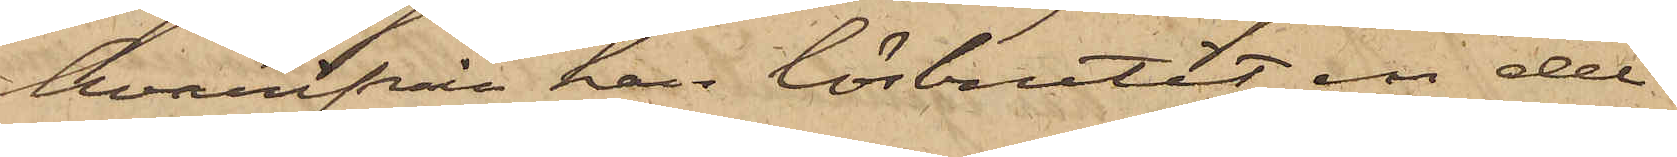hvarifrån han lösbrutit en del
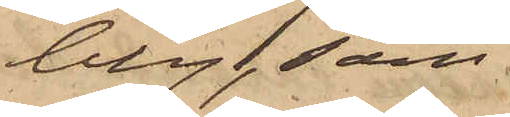bly, som
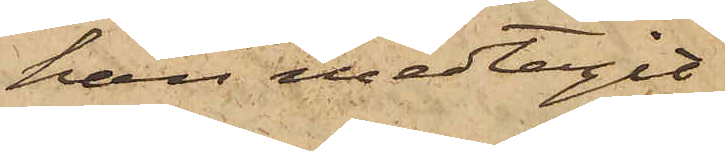han medtagit
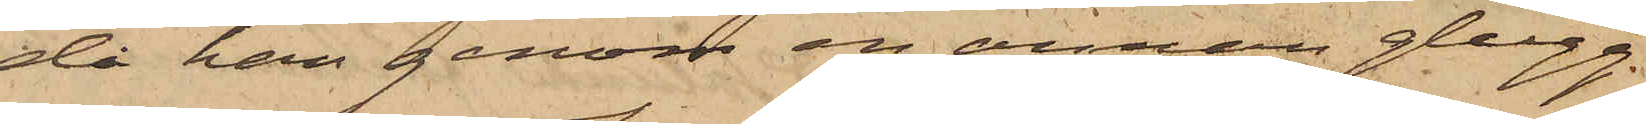då han genom en annan glugg
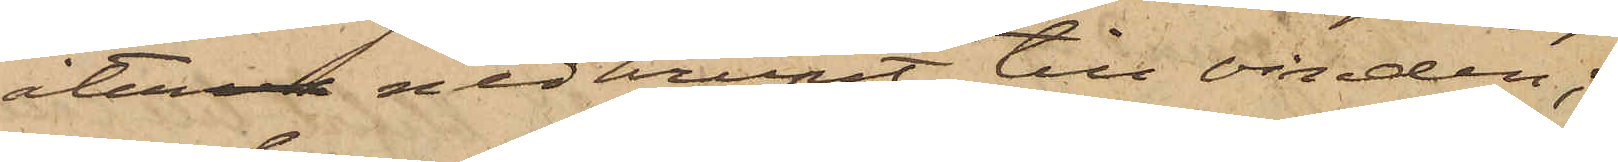återner nedkrupit till vinden;
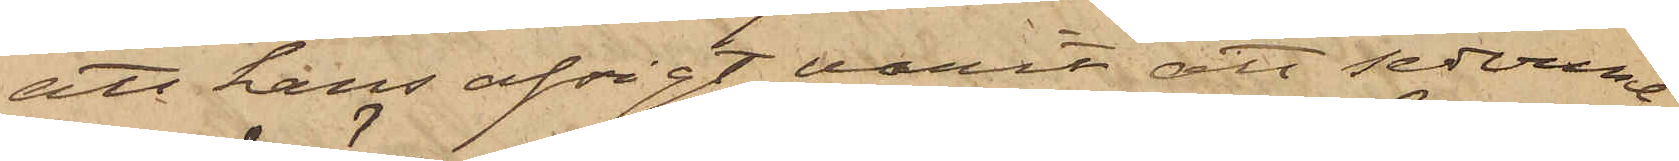att hans afsigt varit att sederme¬
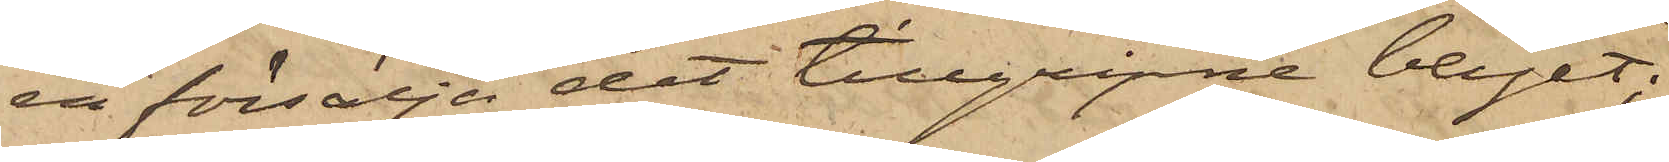ra försälja det tillgripne blyet;
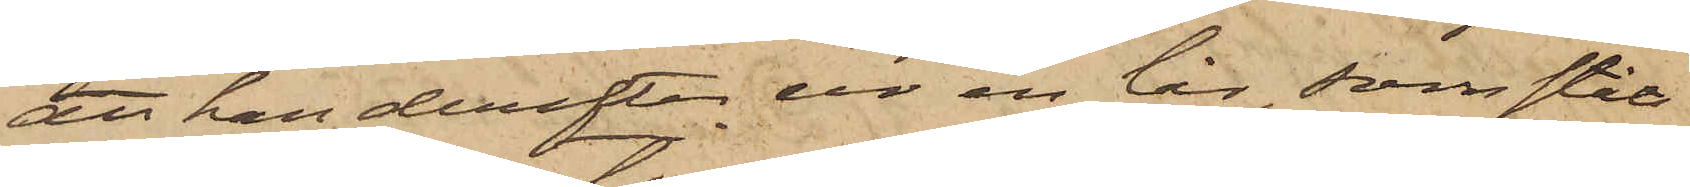att han derefter ur en lår, som stått
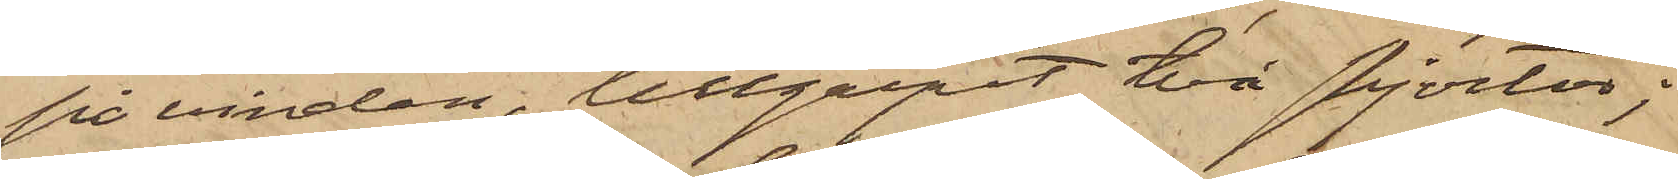på vinden, tillgripit två skjortor;
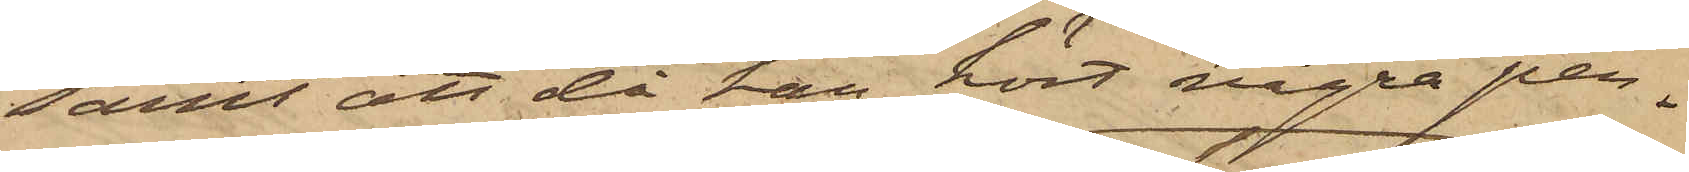samt att då han hört några per¬
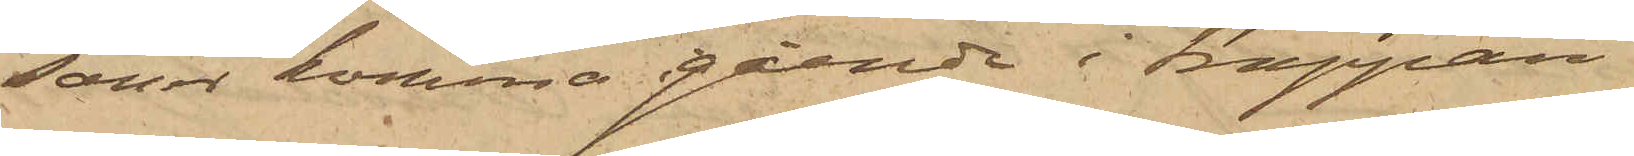soner komma gående i trappan
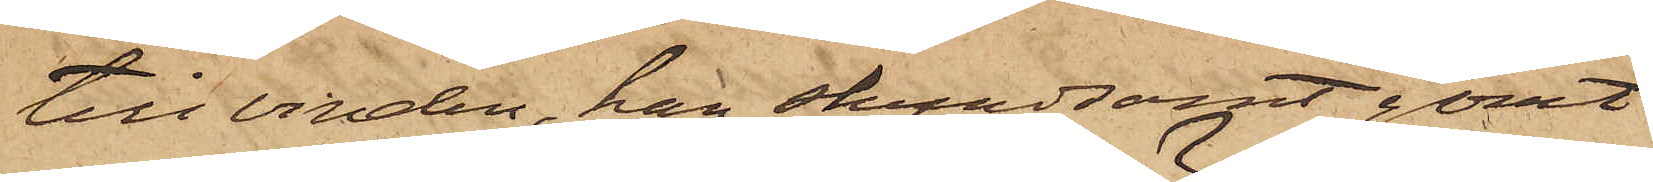till vinden, han skyndsamt gömt
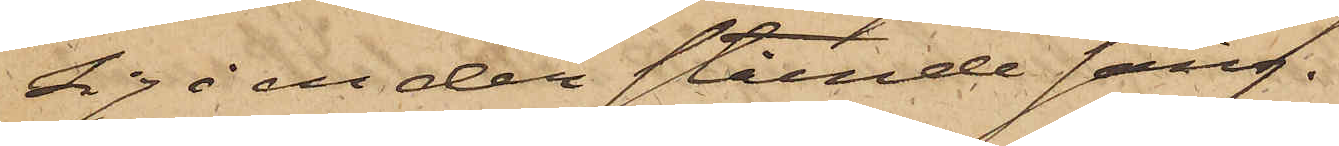sig i en der stående säng.
